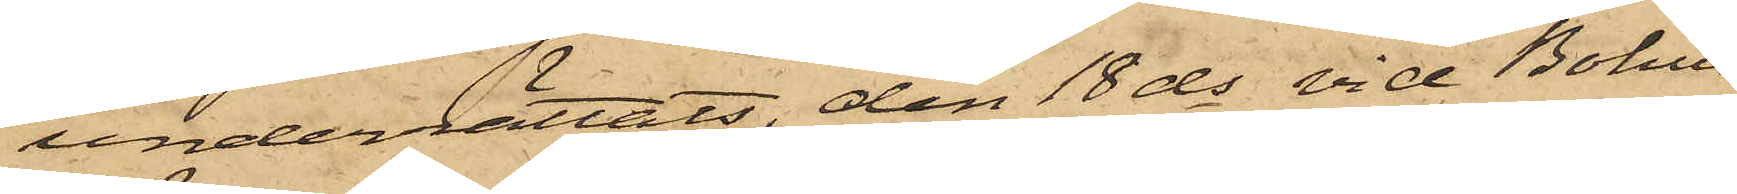underrättats, den 18 ds vid Bohus
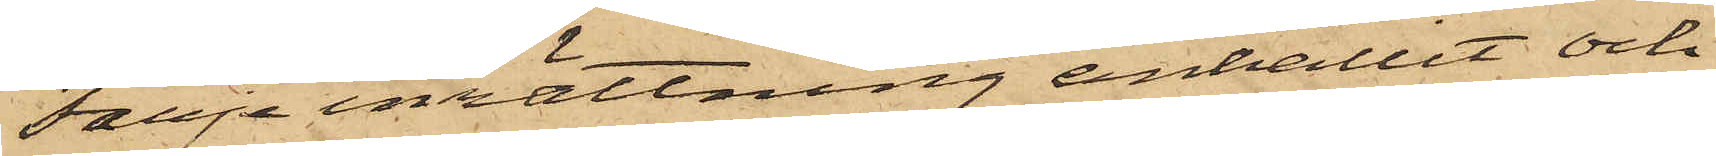Färjeinrättning anhållit och
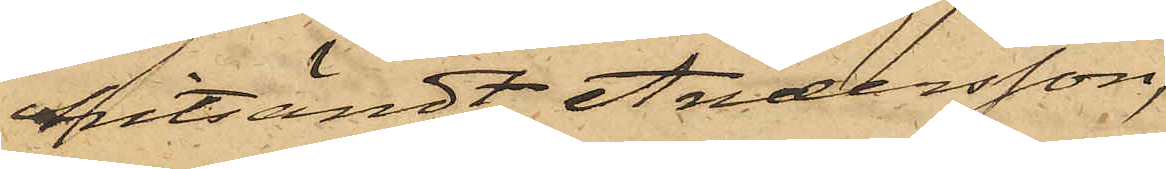hitsändt Andersson,
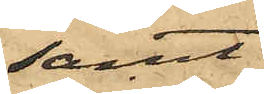samt
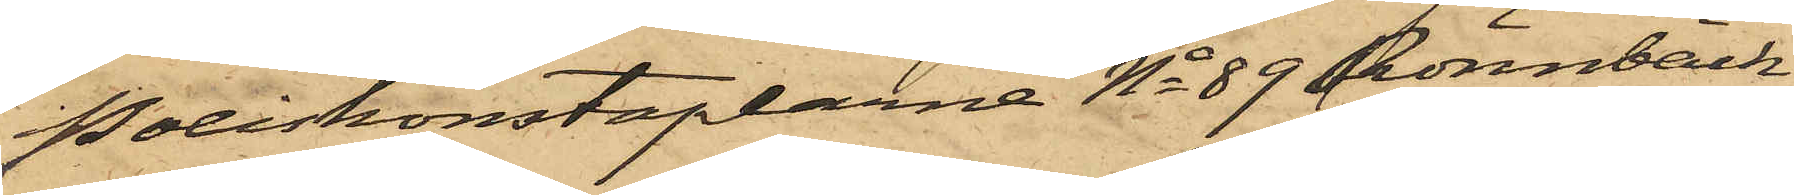Poliskonstaplarne No 89 Rönnbäck
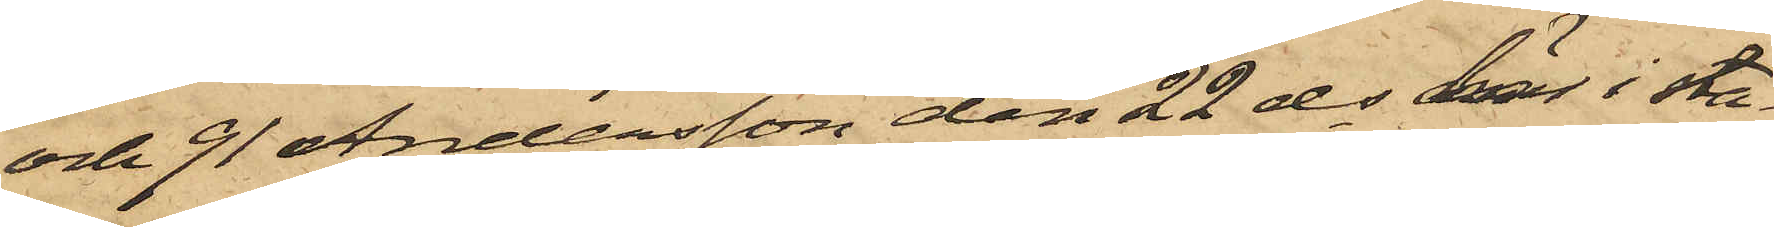och 91 Andersson den 22 ds här i sta¬
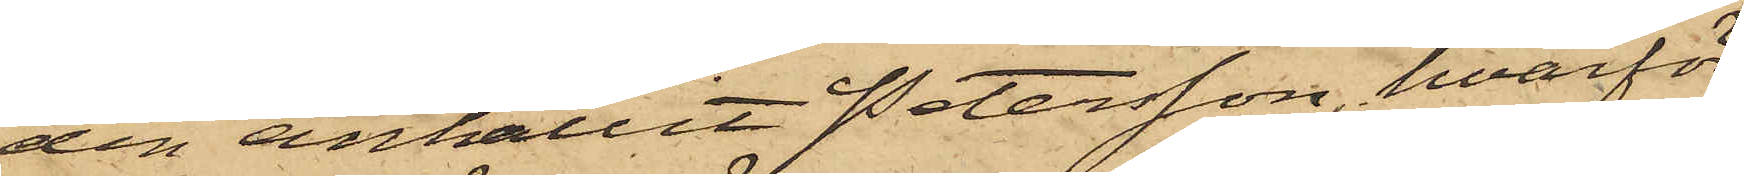den anhållit Petersson, hvarför¬
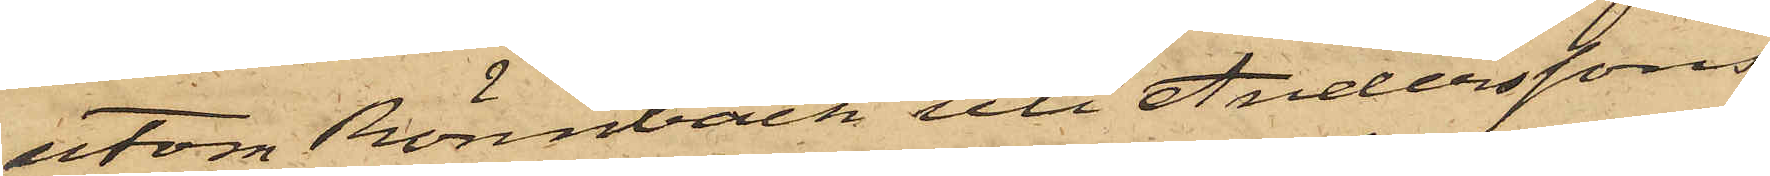utom Rönnbäck uti Anderssons
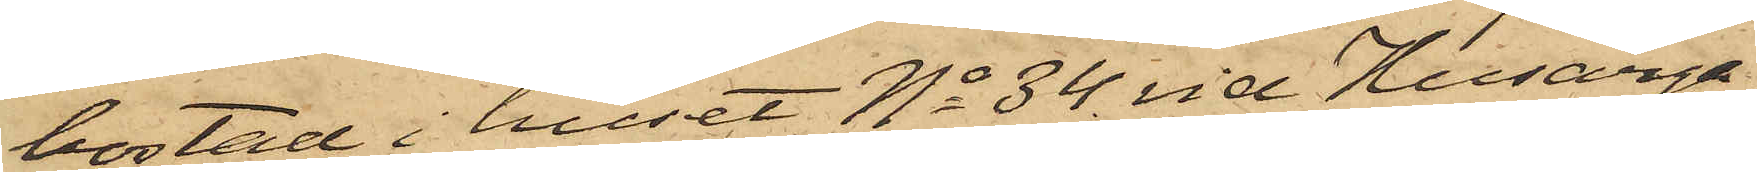bostad i huset No 34 vid Husarga¬
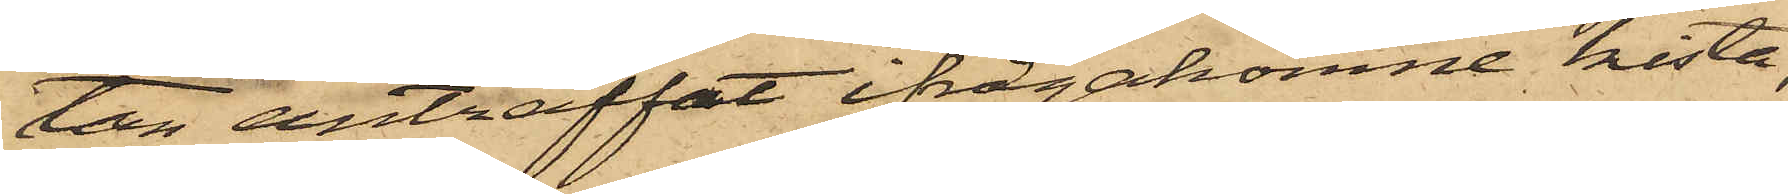tan anträffat ifrågakomne kista,
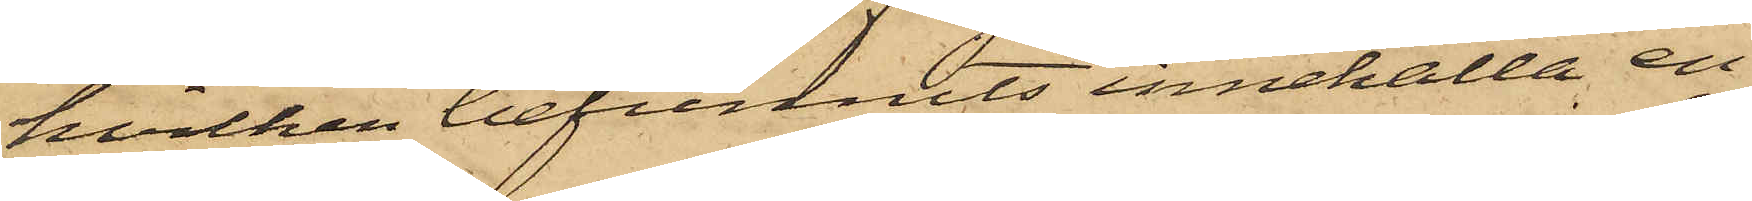hvilken befunnits innehålla en
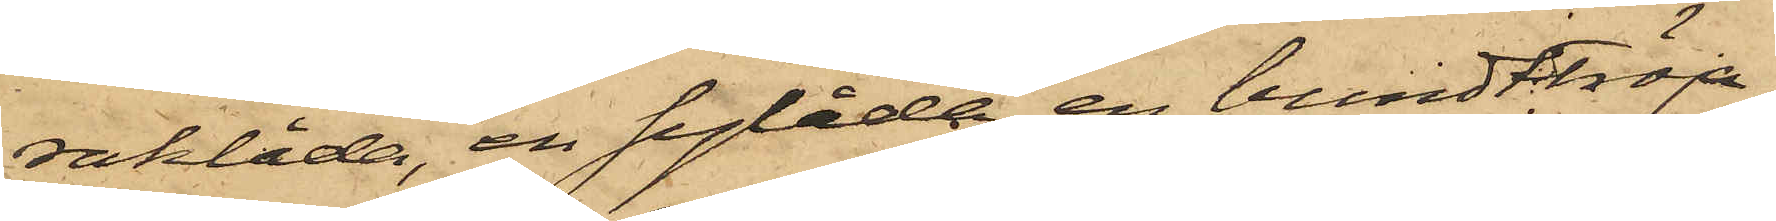raklåda, en sylåda, en bundttröja,
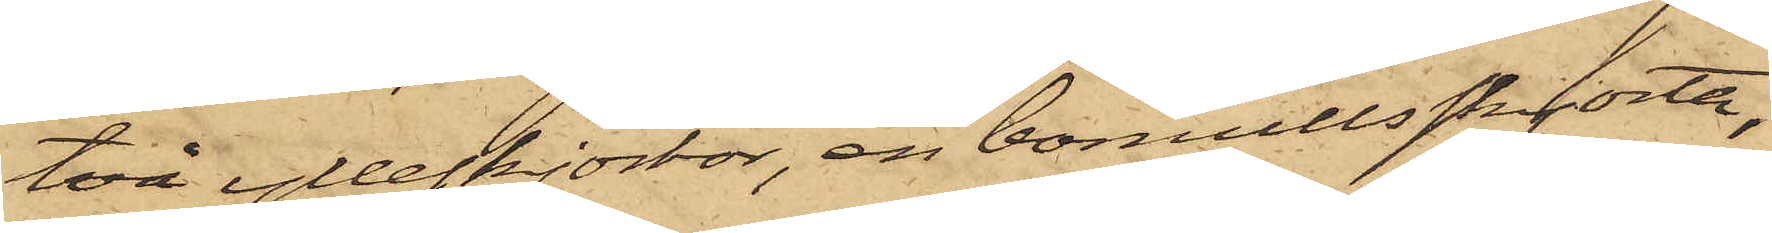två ylleskjortor, en bomullsskjorta,
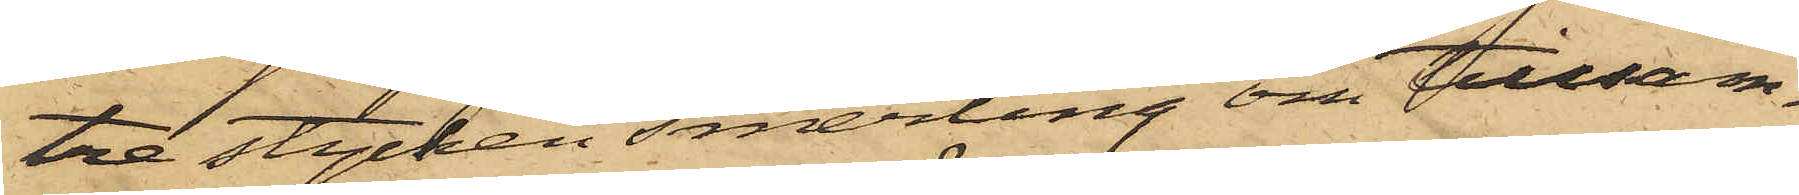tre stycken smerting om tillsam¬
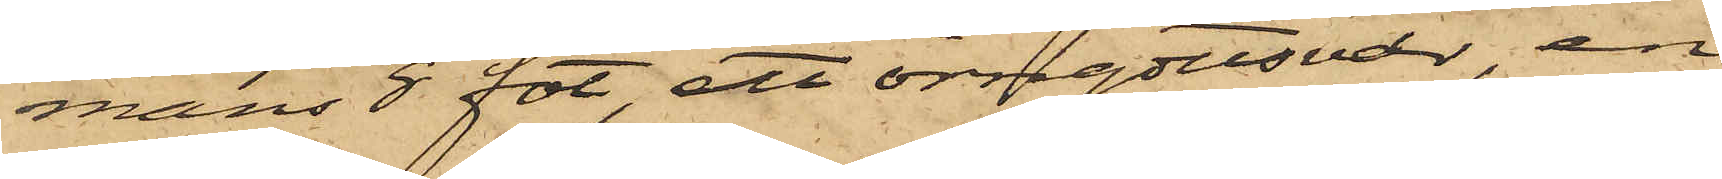mans 8 fot, ett örngottsvar, en
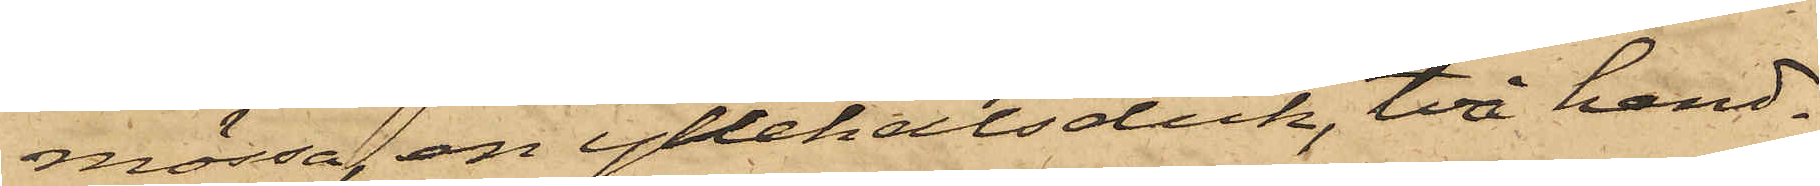mössa, en yllehalsduk, två hand¬
